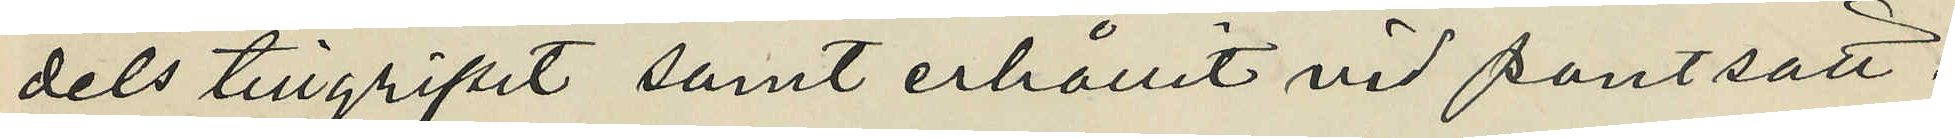dels tillgripit samt erhållit vid pantsätt¬
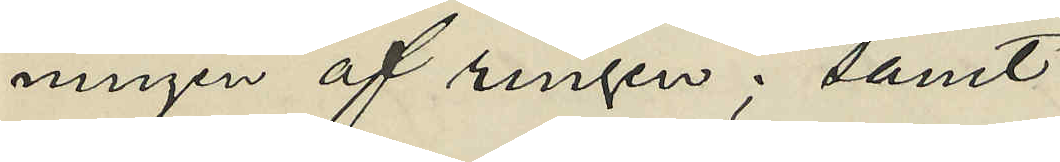ningen af ringen; samt
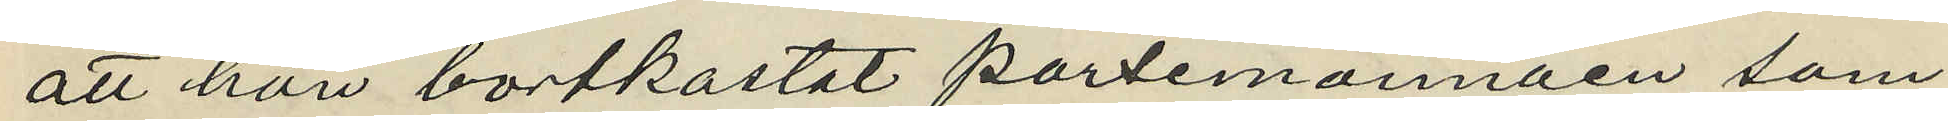att hon bortkastat portemonnäen som
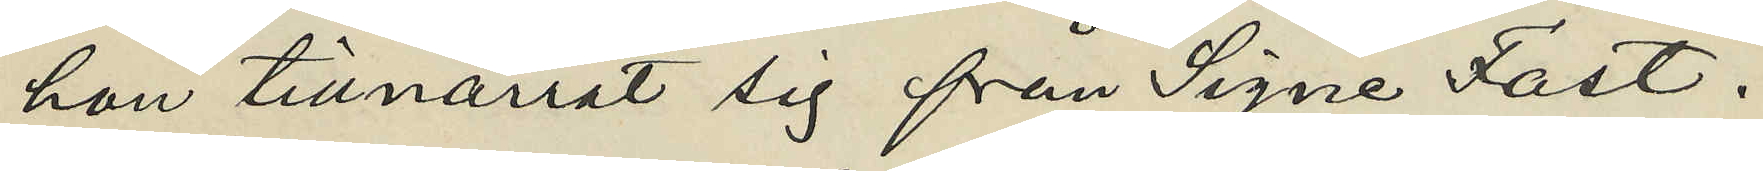hon tillnarrat sig från Signe Fast.
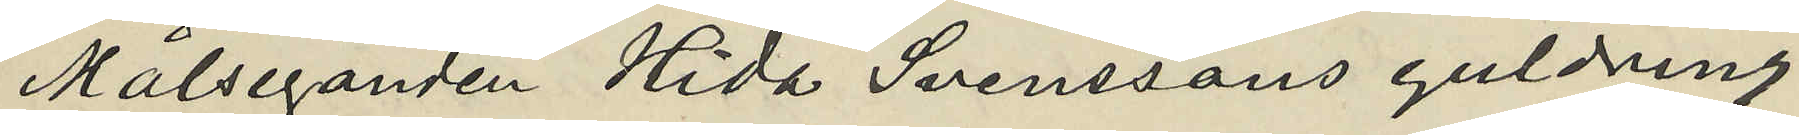Målseganden Hida Svenssons guldring
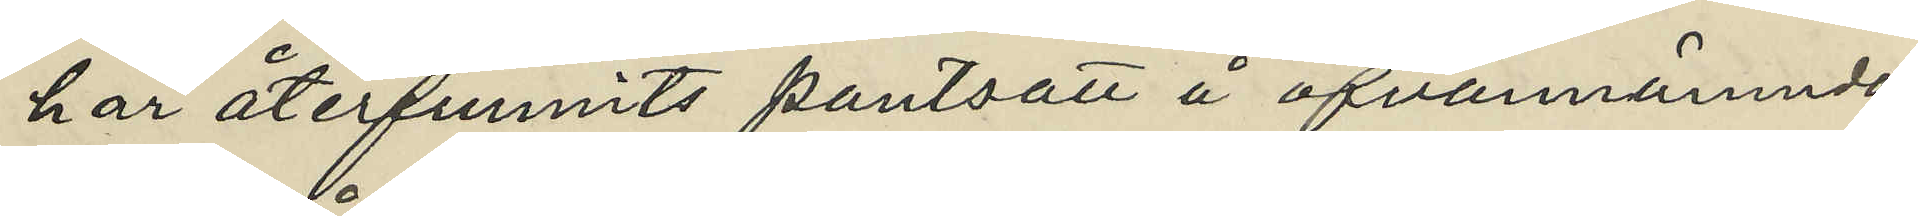har återfunnits pantsatt å ofvannämnda
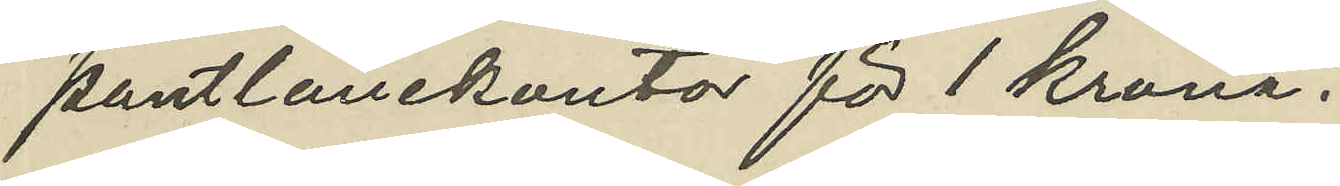pantlånekontor för 1 krona.
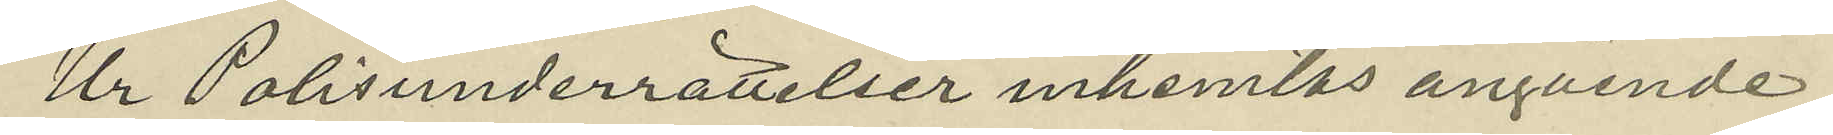Ur Polisunderrättelser inhemtas angående
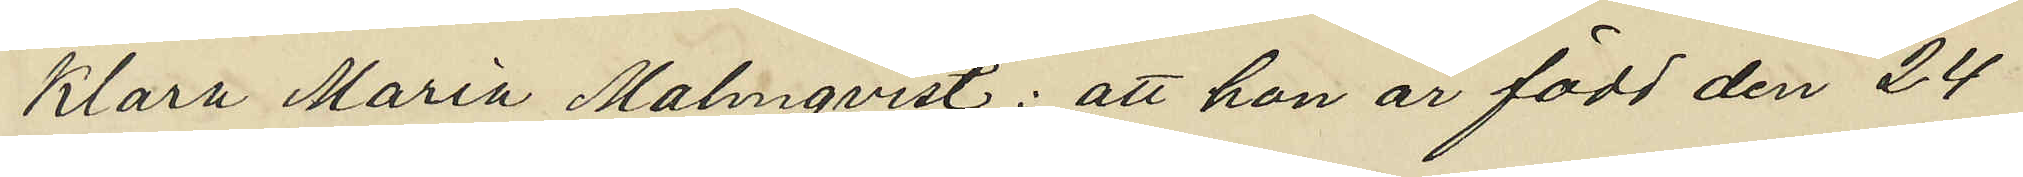Klara Maria Malmqvist: att hon är född den 24
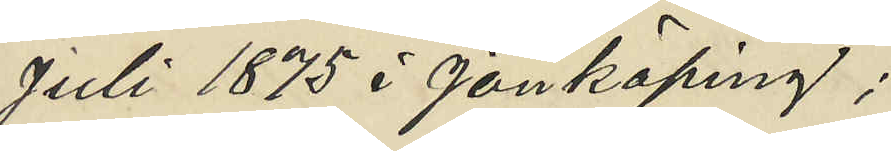Juli 1875 i Jönköping;
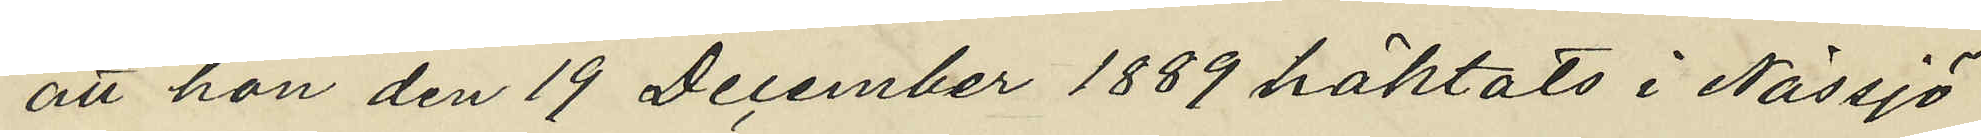att hon den 19 December 1889 häktats i Nässjö
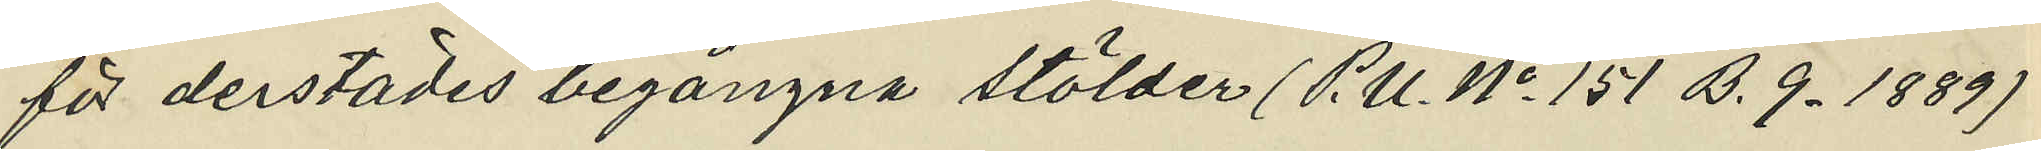för derstädes begångna stölder (P.U. No 151 D. 9. 1889)
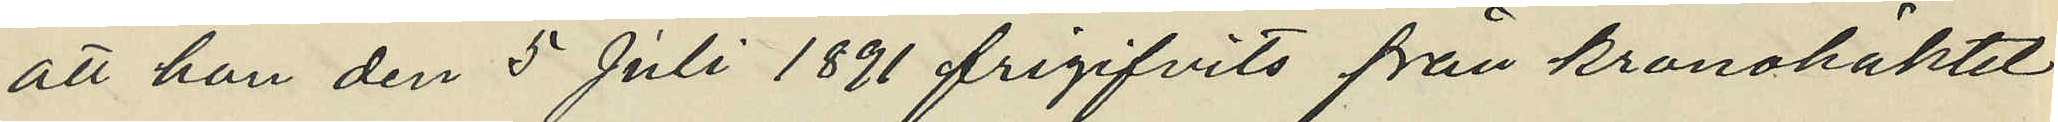att hon den 5 Juli 1891 frigifvits från kronohäktet
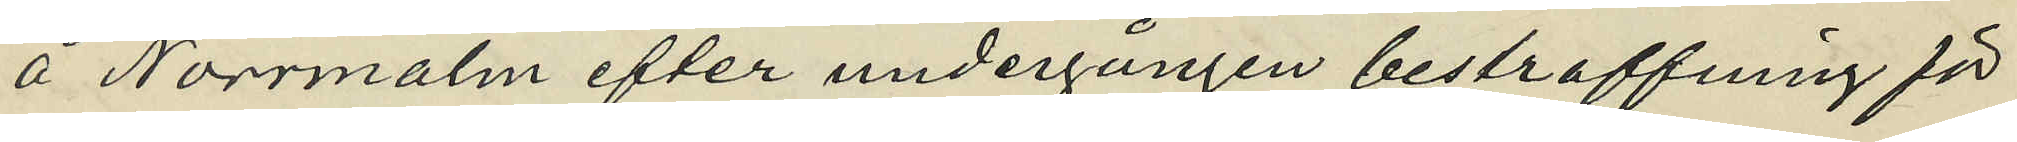å Norrmalm efter undergången bestraffning för
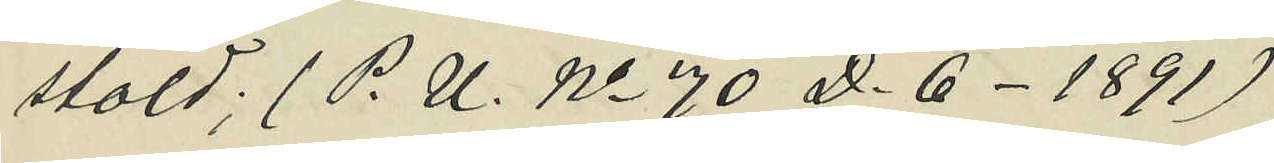stöld; (P. U. No 70 D. 6_ 1891)
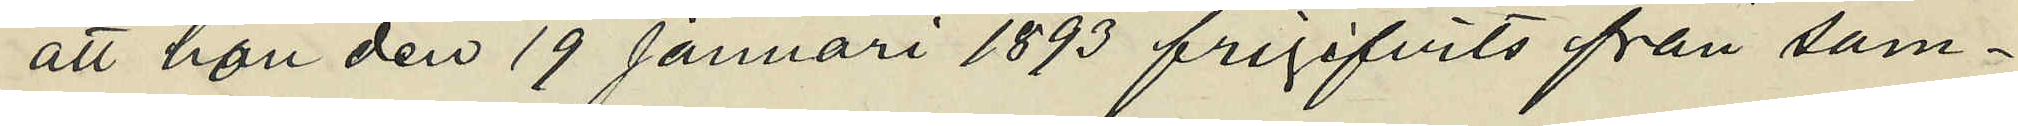att hon den 19 Januari 1893 frigifvits från sam¬
